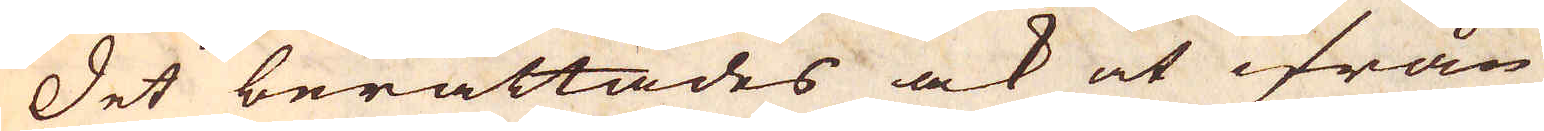Det berättades ock at ifrån
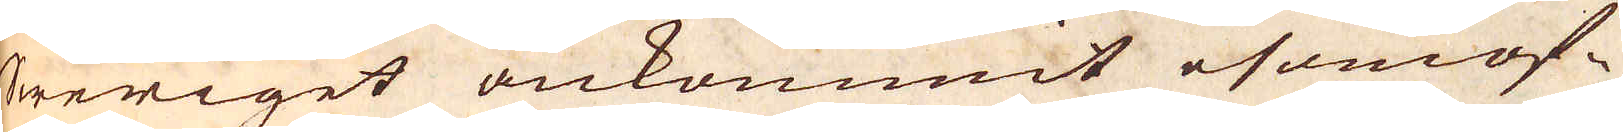Sweriget ankommit esomof-
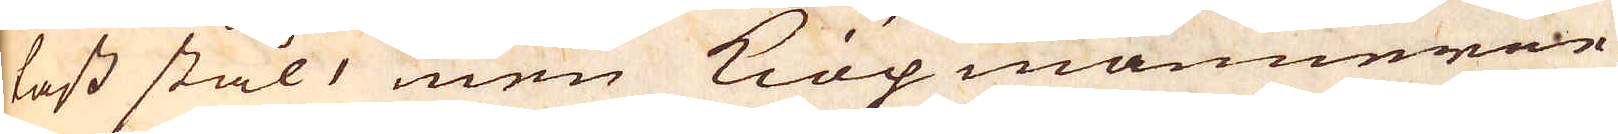tast stål, men Kiöpmännerne
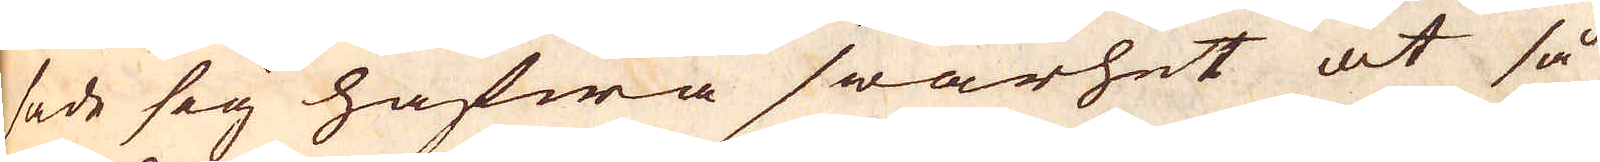sade sig hafwa swårhet at så
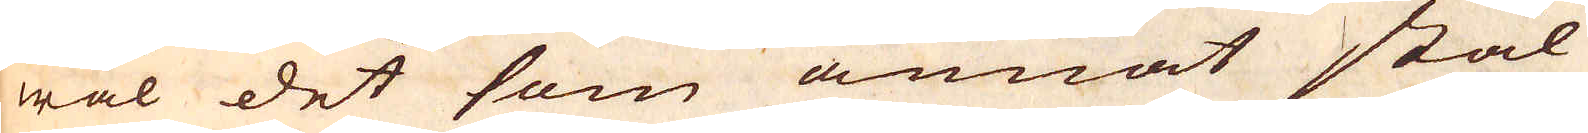wäl det som annat stål
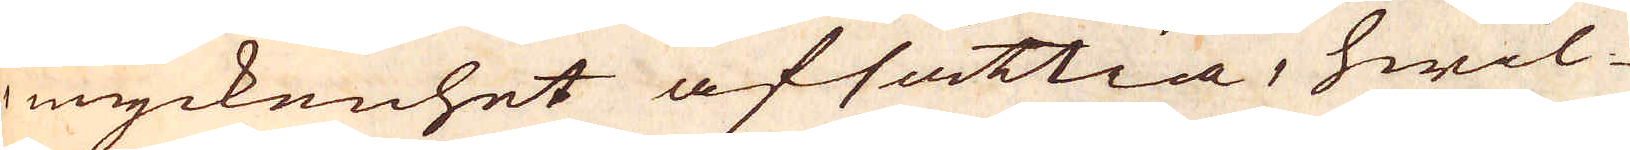myckenhet afsättia, hwil-
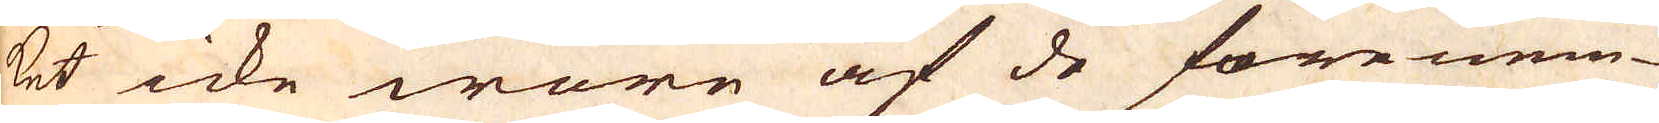ket icke wore af de förenem-
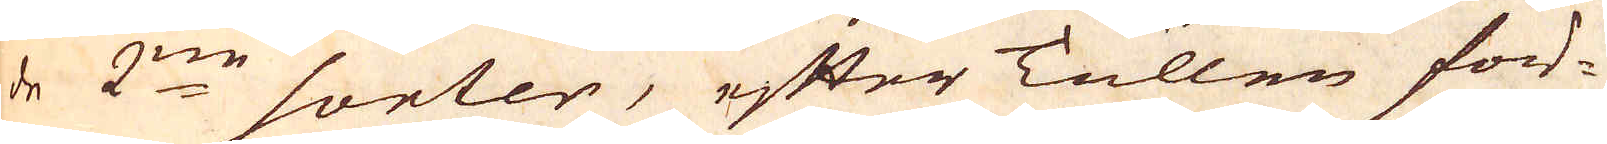de 2:ne sorter, efter Tullen för-
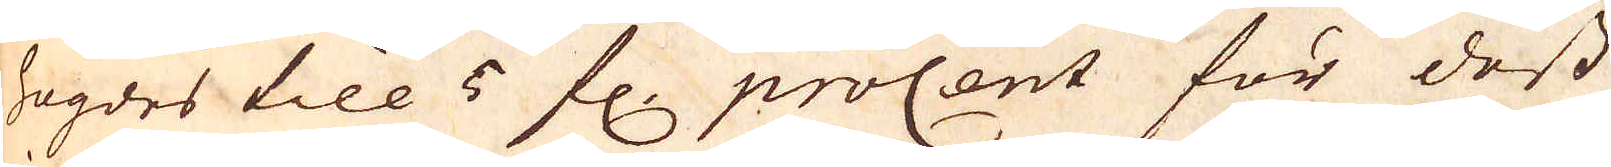högdes till 5 fl. procent för dess
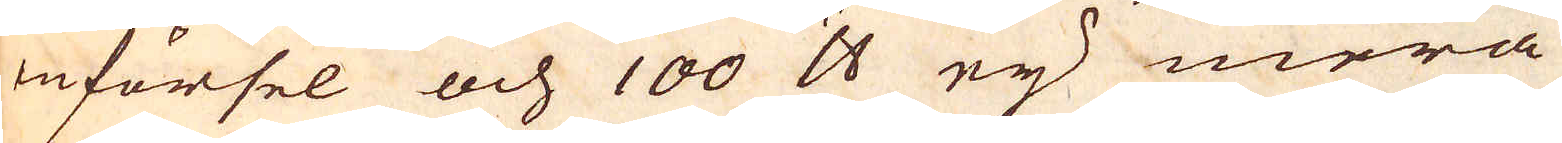införsel och 100 skålpund ey mera
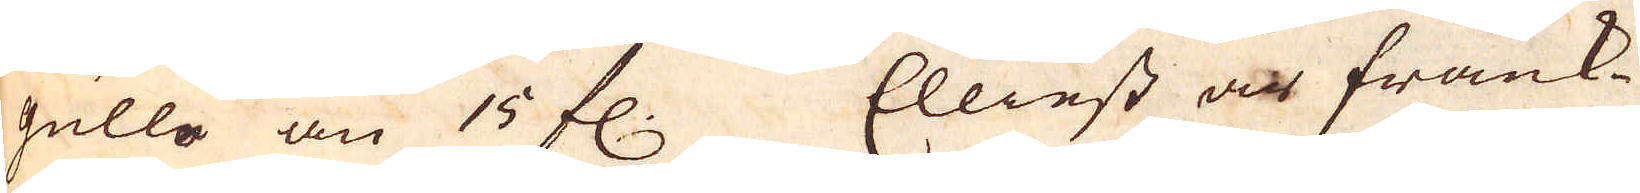gullo än 15 fl. Elliest är Frank-
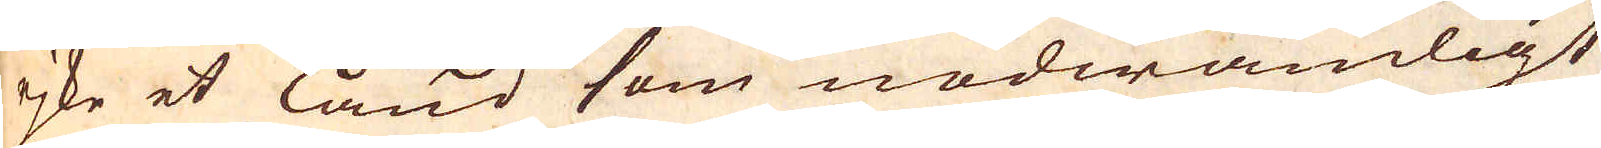rjke et land som nödwändigt
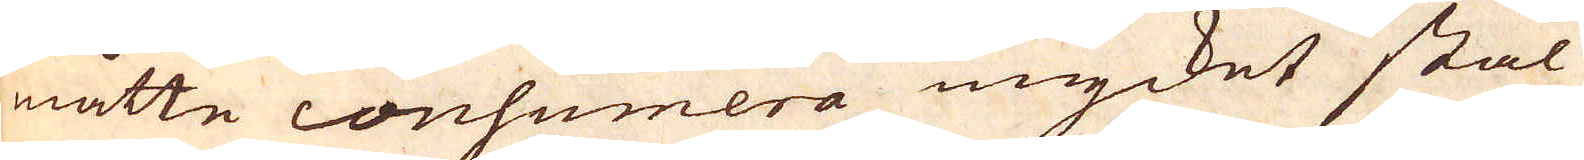måtte consumera mycket stål
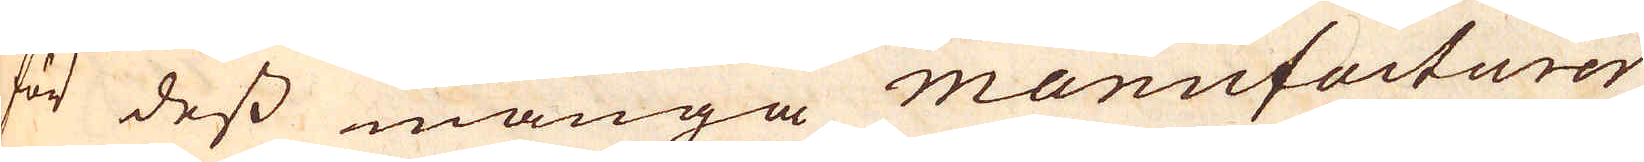för dess många manufacturer
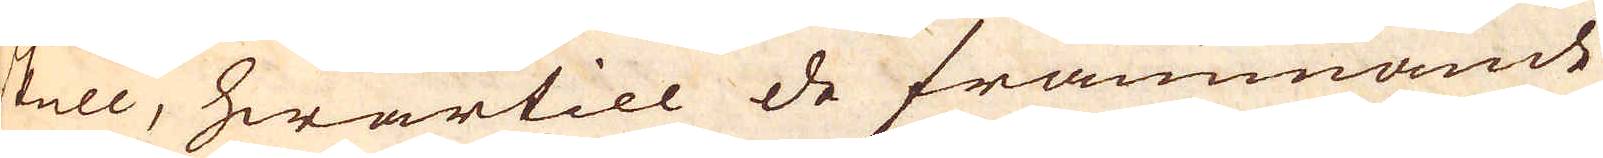skull, hwartill de främmande
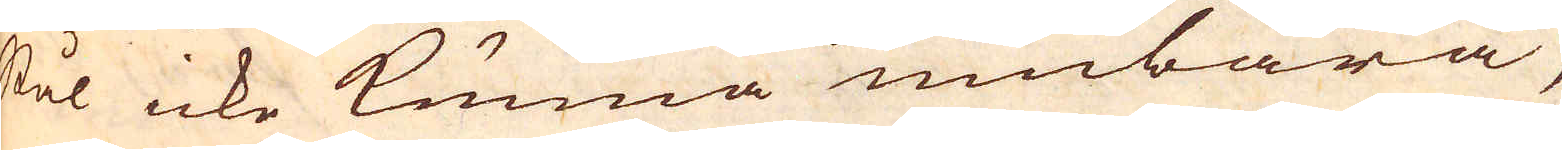stål icke kunna umbära,
